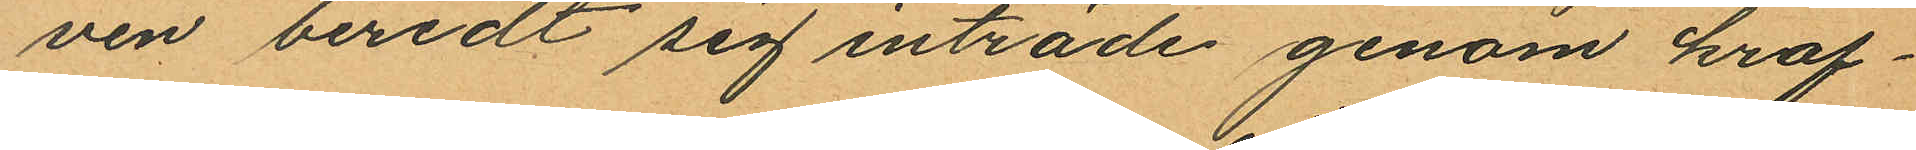ven beredt sig inträde genom kraf¬
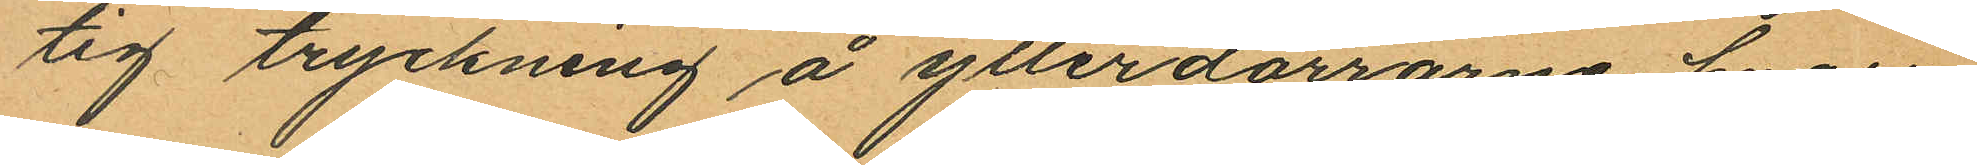tig tryckning å ytterdörrarne hvari¬
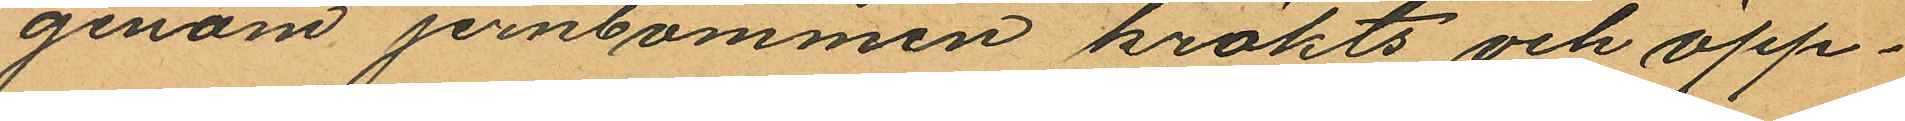genom jernbommen krökts och öpp¬
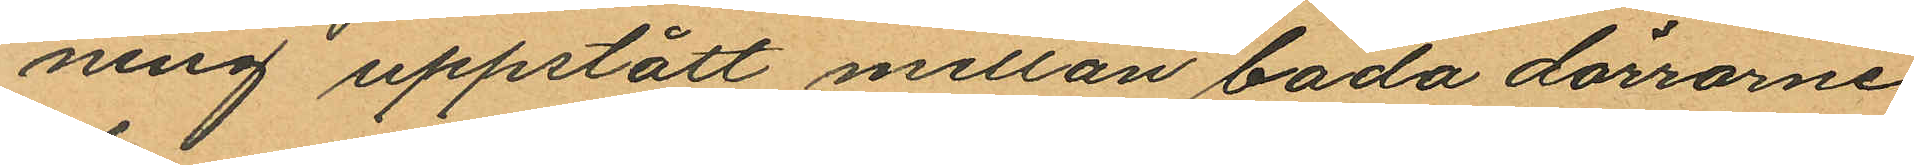ning uppstått mellan båda dörrarne
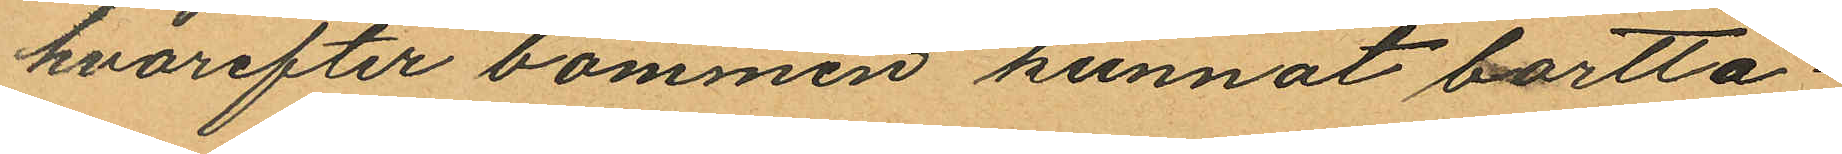hvarefter bommen kunnat bortta¬
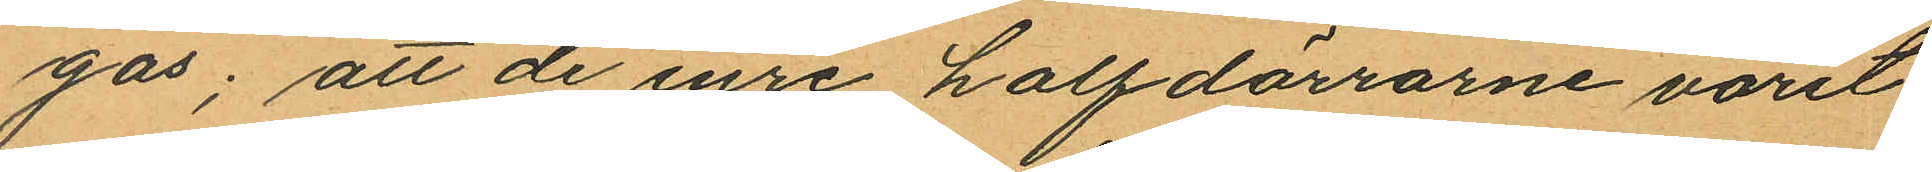gas; att de inre halfdörrarne varit
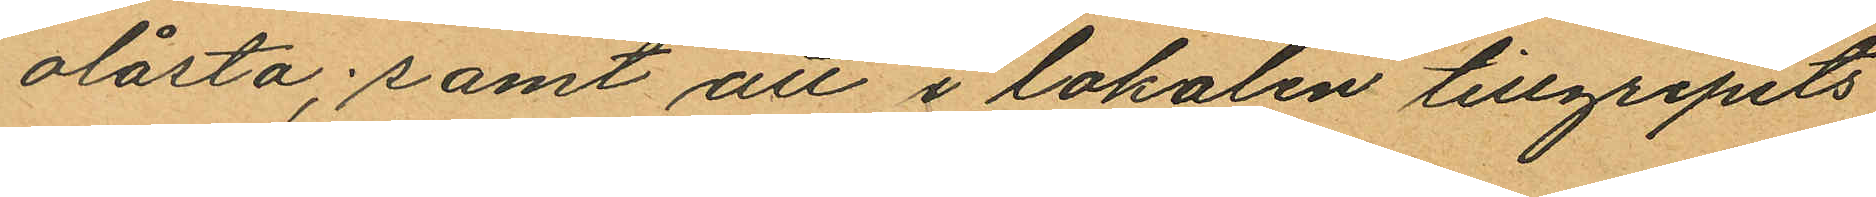olåsta; samt att i lokalen tillgripits
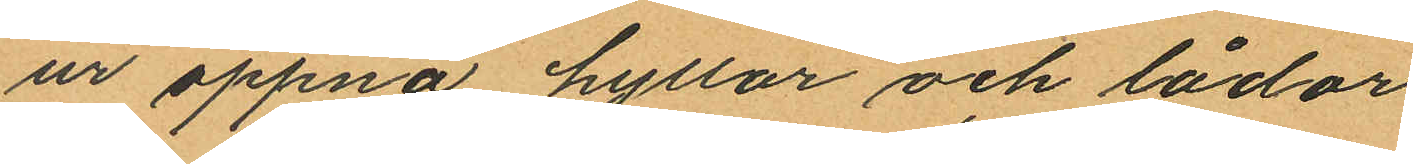ur öppna hyllor och lådor
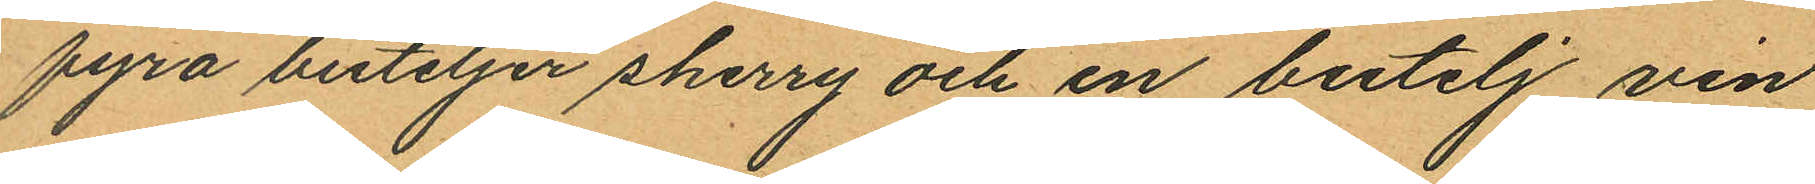fyra buteljer sherry och en butelj vin
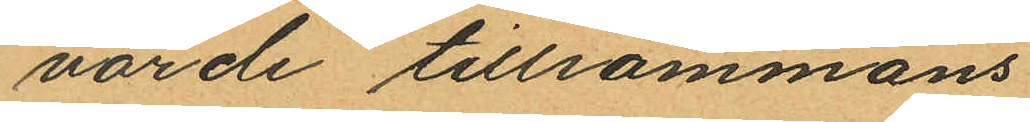värde tillsammans
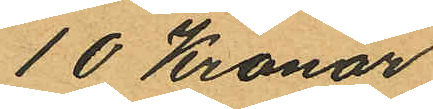10 Kronor
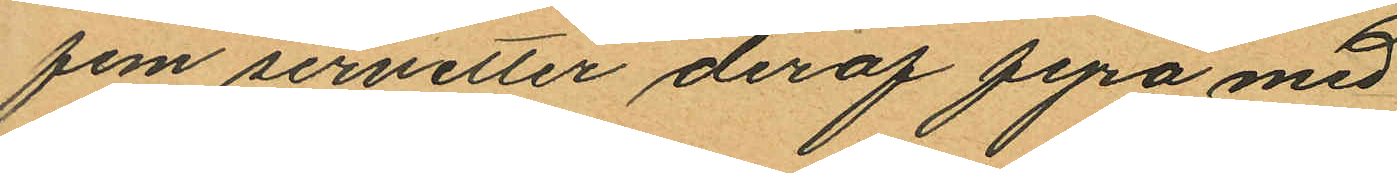fem servetter deraf fyra med
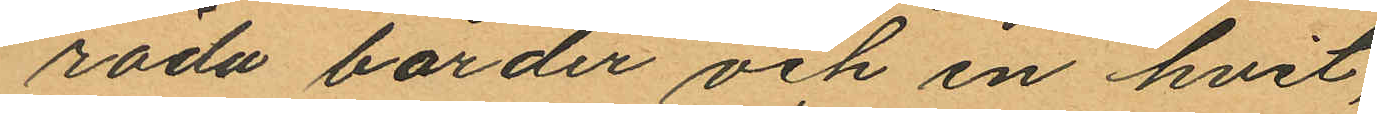röda bårder och en hvit,
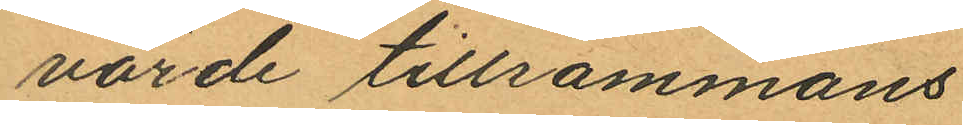värde tillsammans
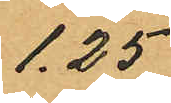1.25
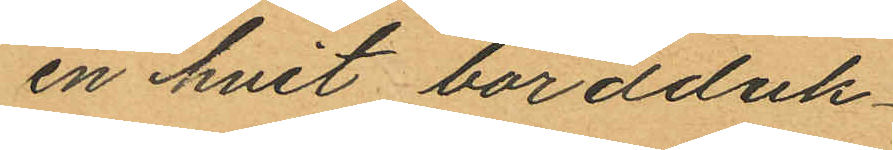en hvit bordduk
